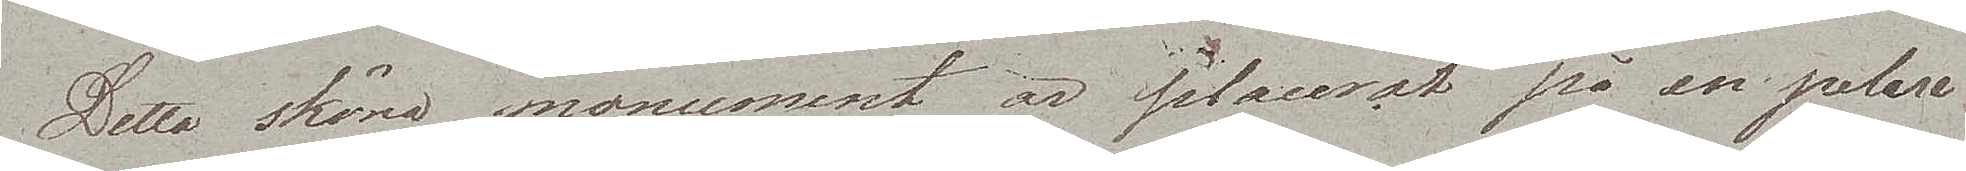Detta sköna monument är placerat på en pelare
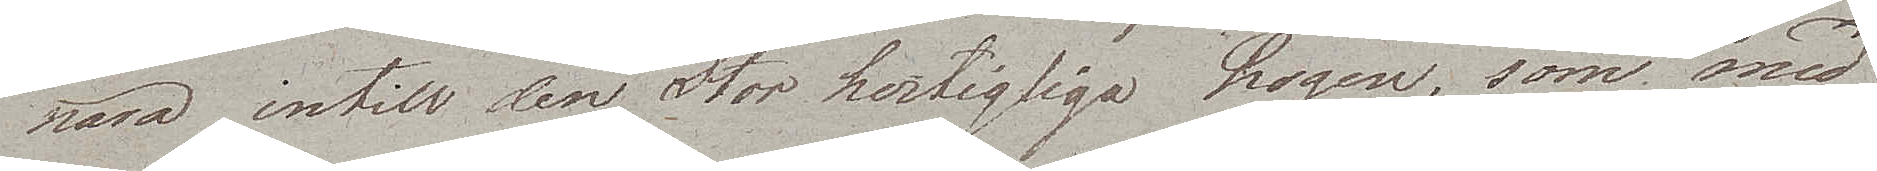nära intill den Storhertigliga Logen, som med
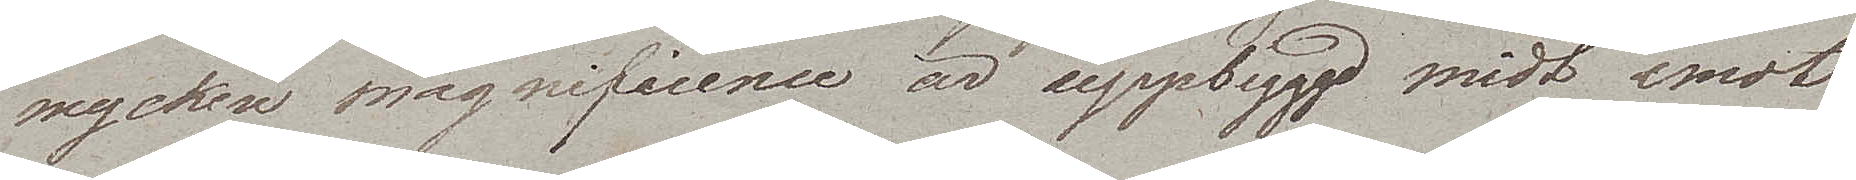mycket magnificence är uppbyggd midt emot
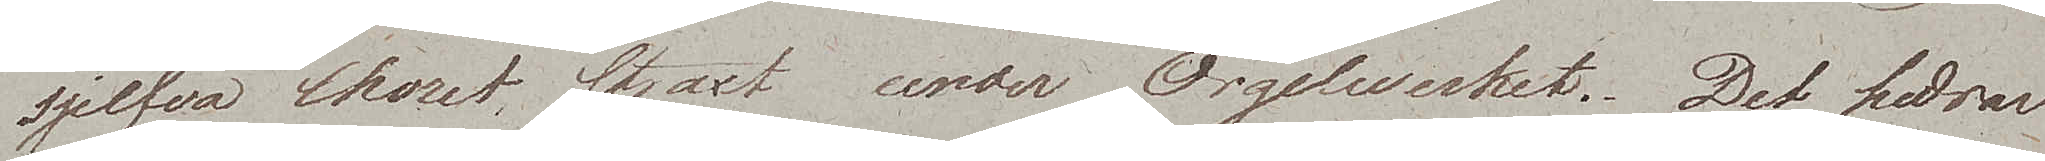sjelfva Choret, straxt under Orgelwerket. Det hedrar
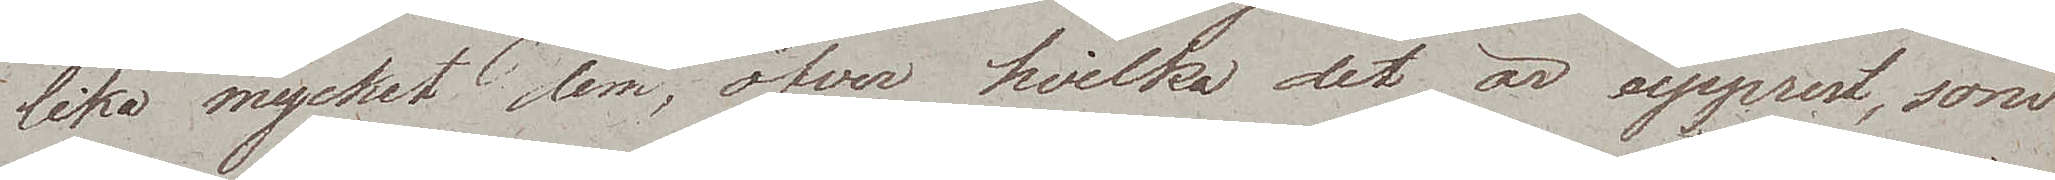lika mycket dem, öfver hvilka det är upprest, som
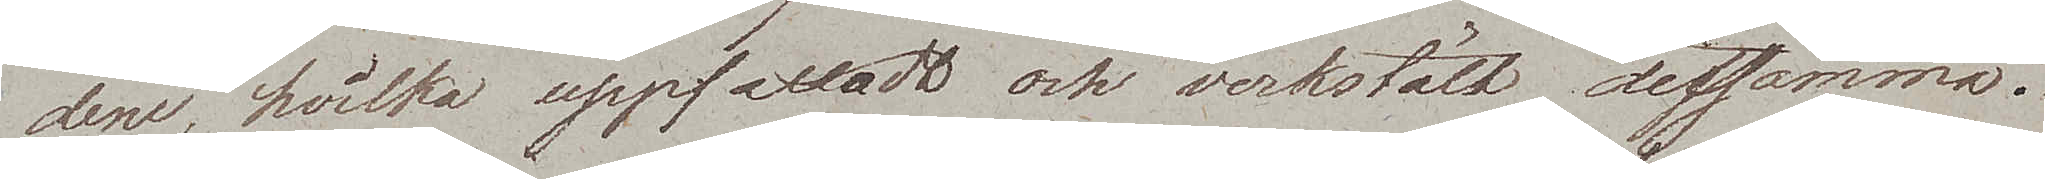dem, hvilka uppfattadt och verkstält detsamma.
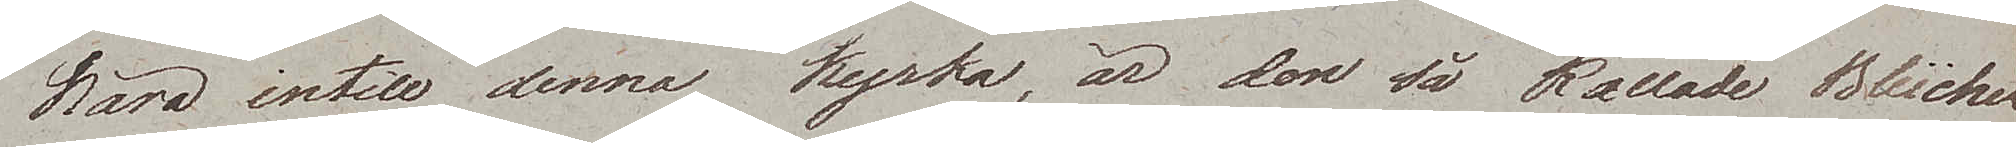Nära intill denna kyrka, är den så kallade Blücher¬
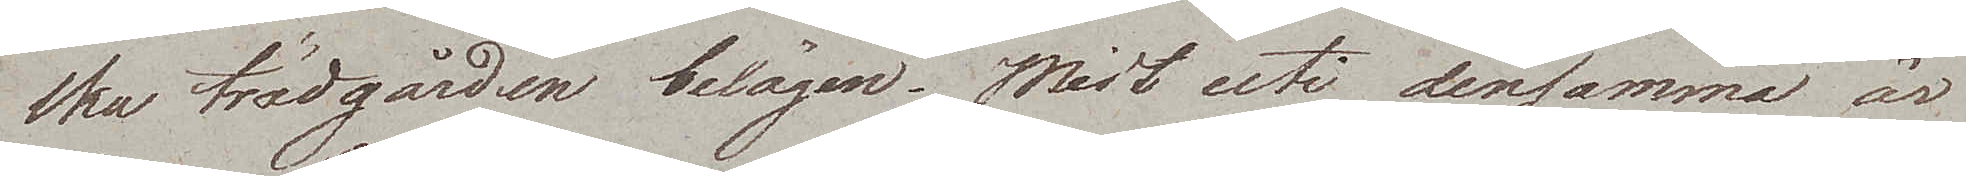ska trädgården belägen. Midt uti densamma är
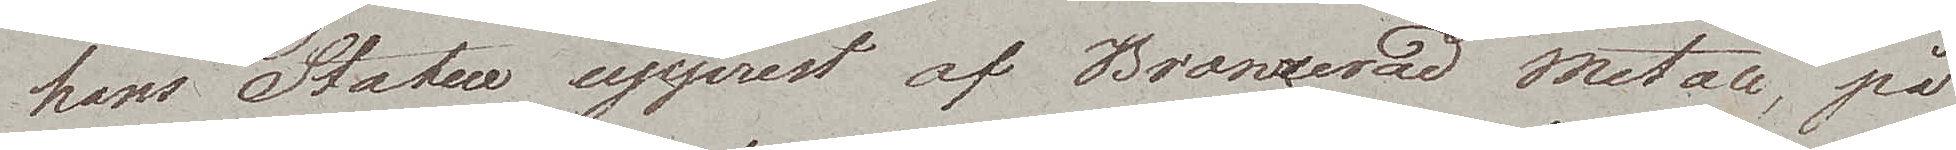hans Statue upprest af Bronzerad metall, på
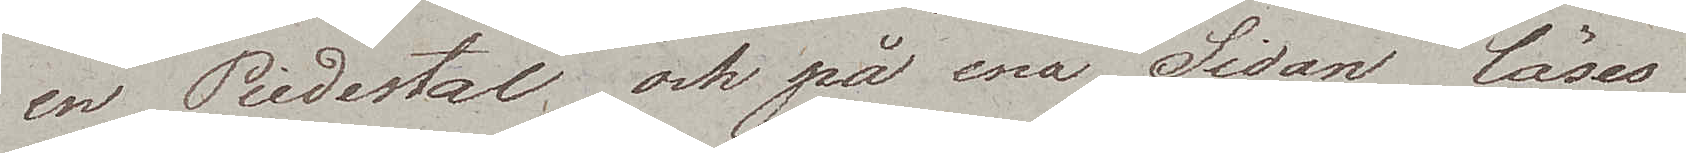en Piedestal, och på ena Sidan läses
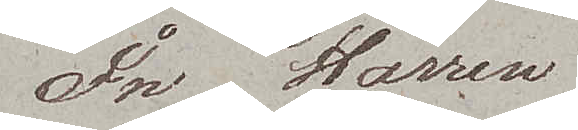In Harren
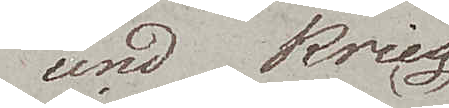und Krieg
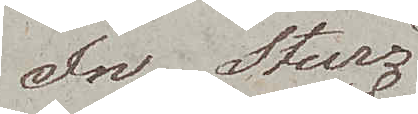In Sturz
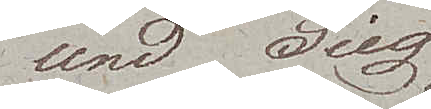und Sieg
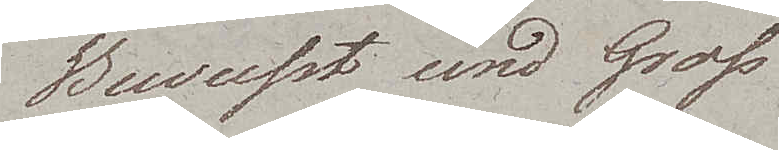Bewusst und Gross
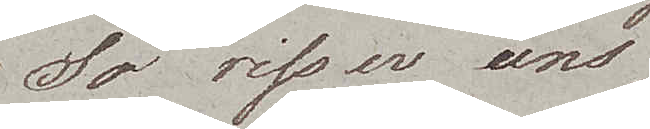So riss er uns
